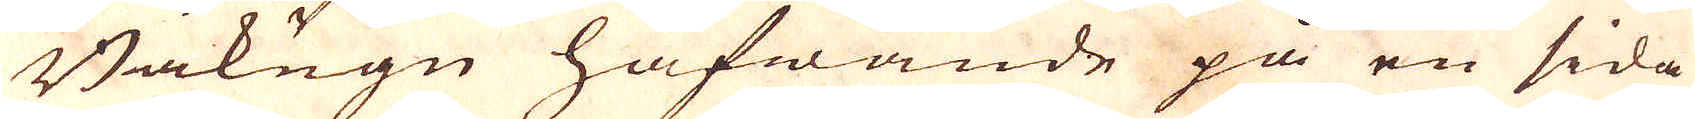Bakugn hafwande på en sida
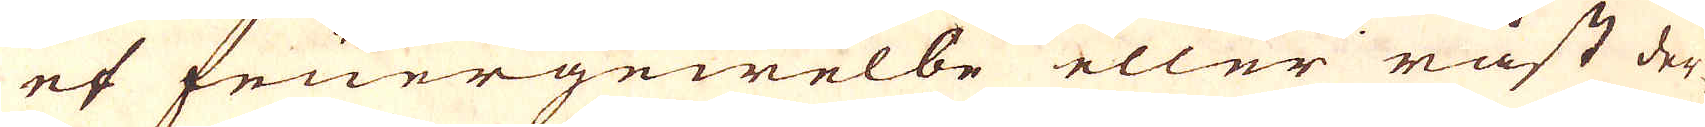et feuergewelbe eller råst der-
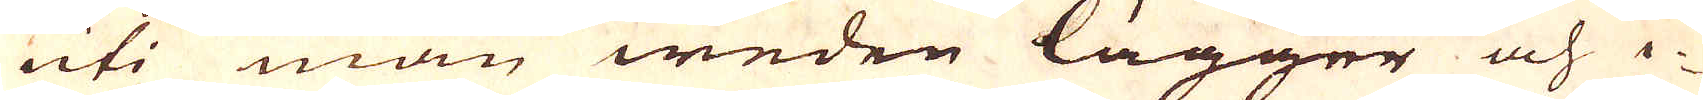uti man weden lägger och i-
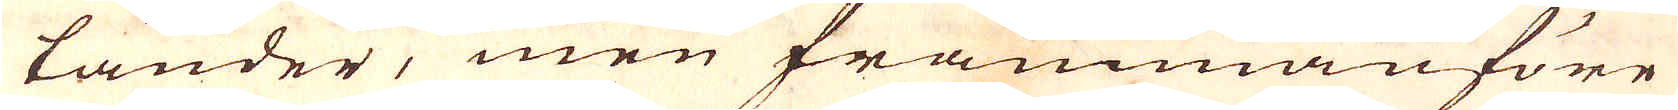tänder, men frammanföre
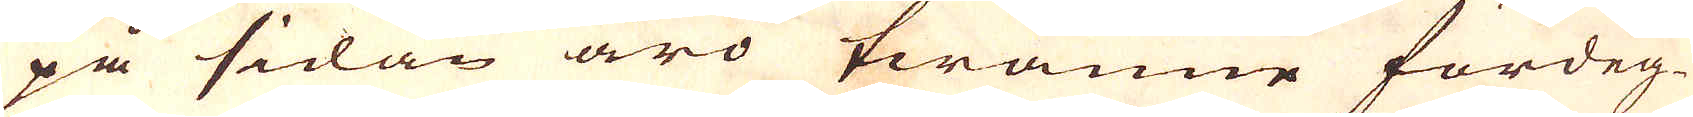på sidan äro twänne fördeg-
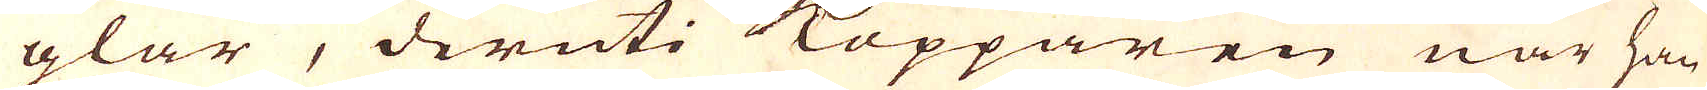glar, deruti Kopparen när han
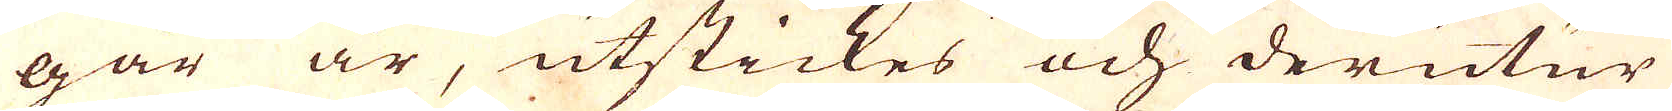går är, utstickes och derutur
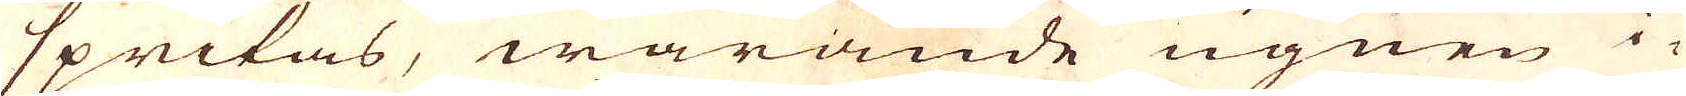spritas, warande ugnen i-
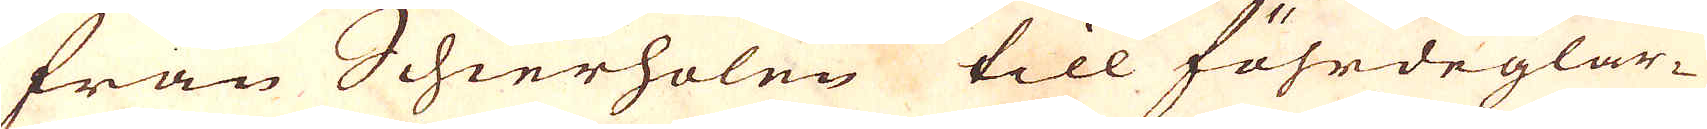från Schierholen till föhrdeglar-
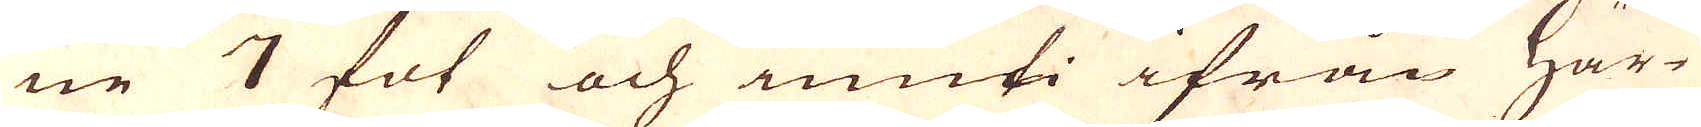ne 7 fot och inuti ifrån Här-
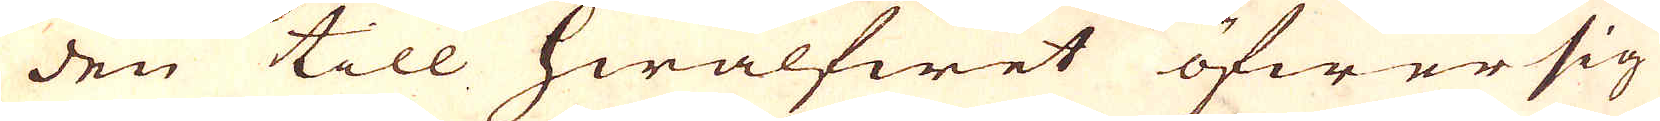den till hwalfwet öfwer sig
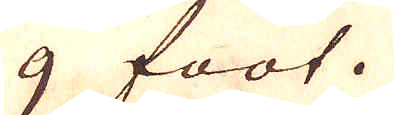9 foot.
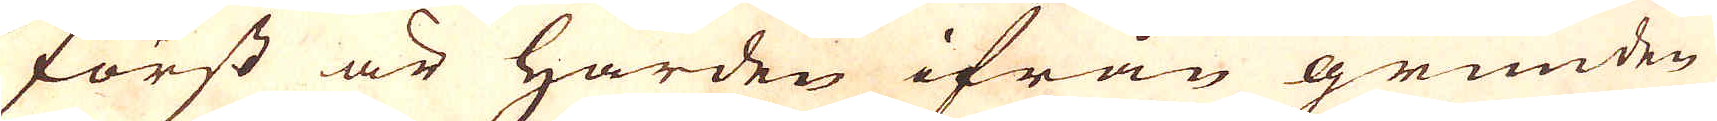Först är Härden ifrån grunden
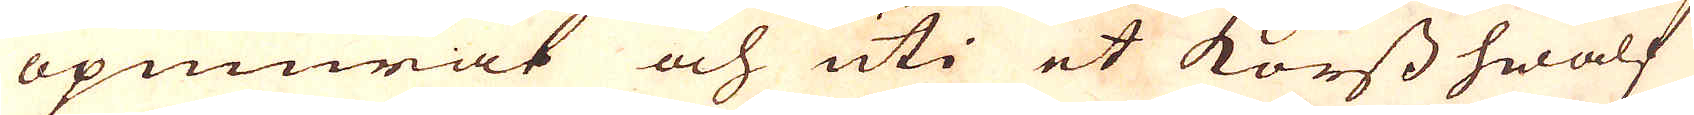opmurat och uti et korss hwalf
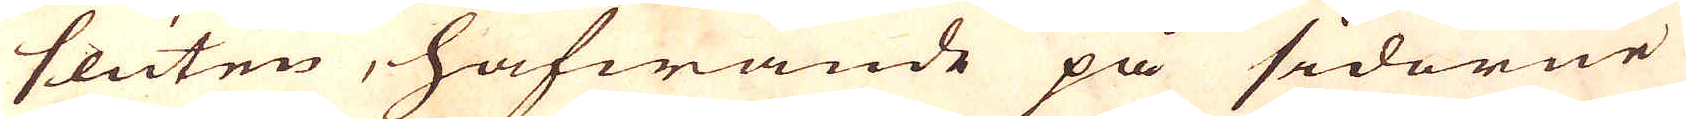sluten, hafwande på sidorne
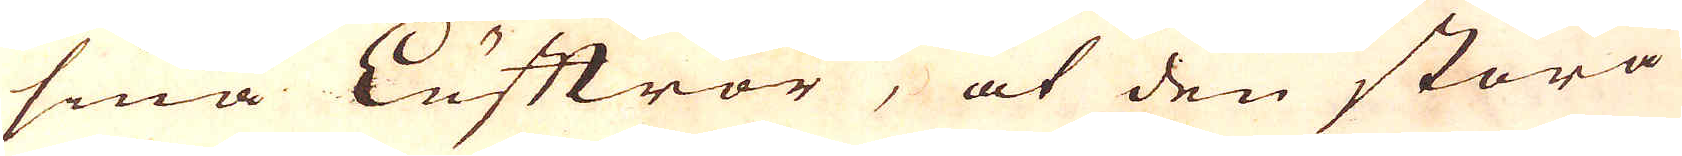små Lufftrör, at den stora
